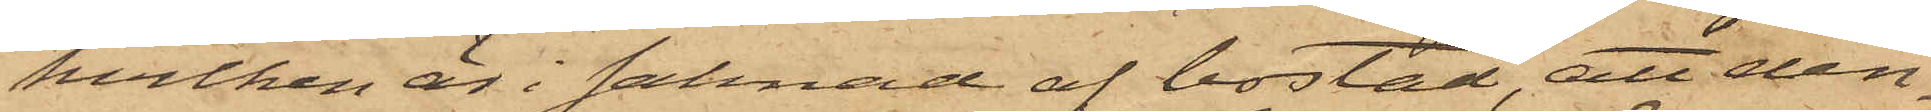hvilken är i saknad af bostad, att den¬
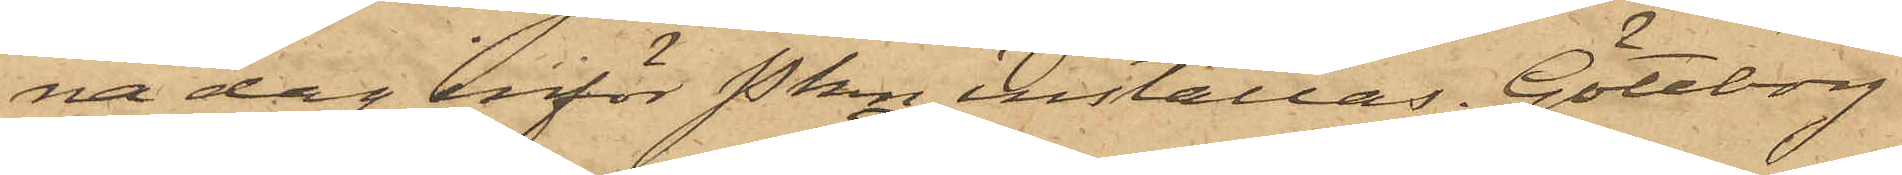na dag inför Pkn inställas. Göteborg
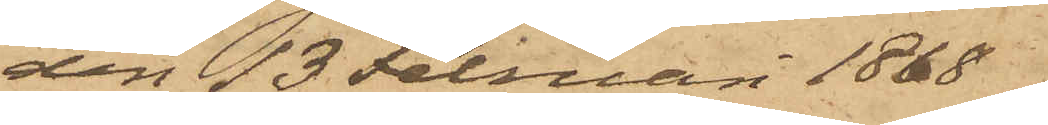den 13 Februari 1868.
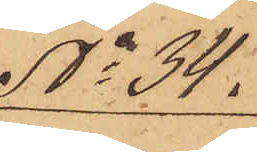No 34.
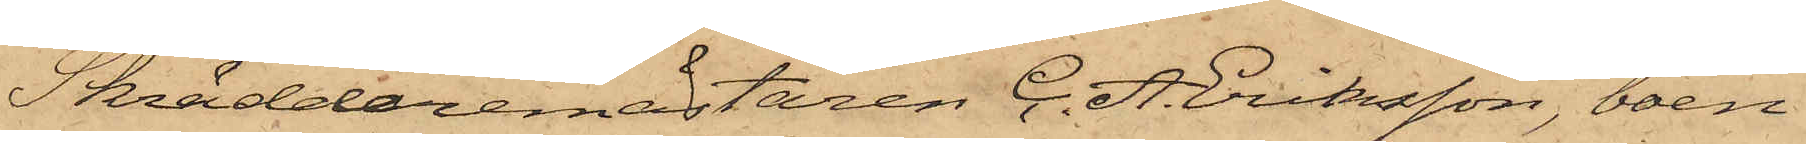Skräddaremästaren C. A. Eriksson, boen¬
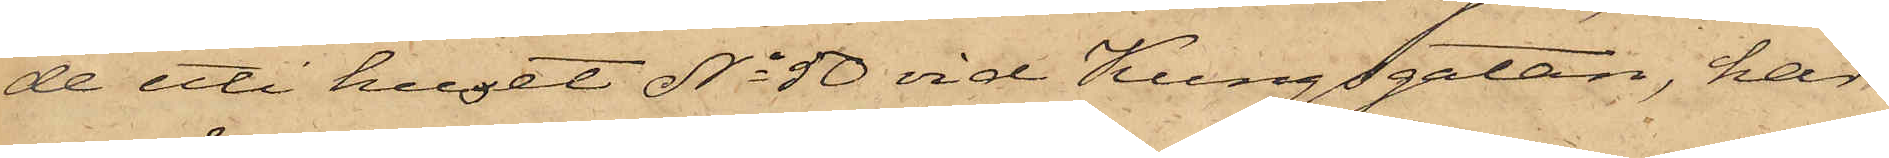de uti huset No 50 vid Kungsgatan, har
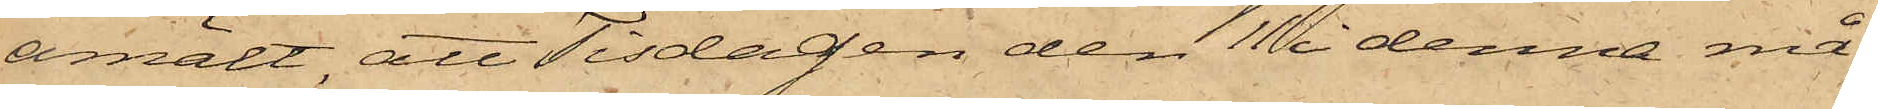anmält, att Tisdagen den 11 i denna må¬
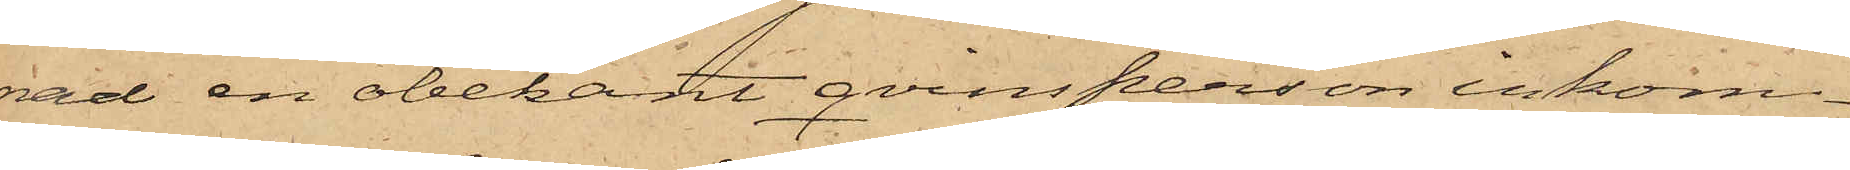nad en obekant qvinsperson inkom¬
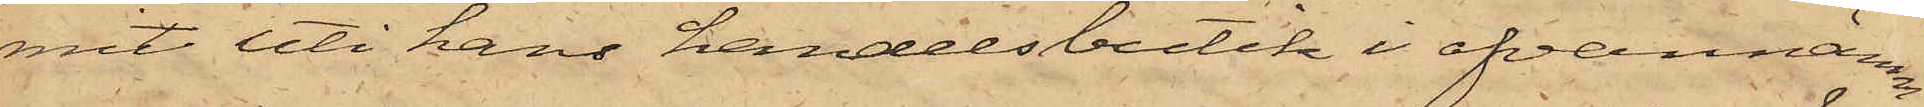mit uti hans handelsbutik i ofvannämn¬
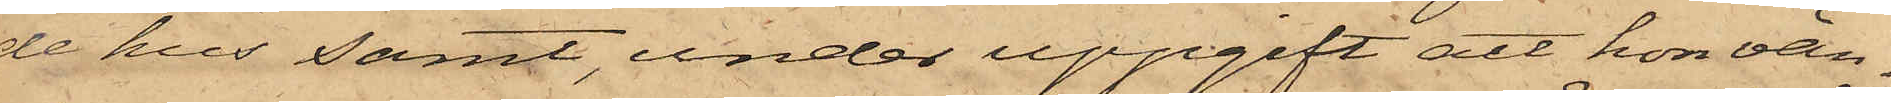de hus samt, under uppgift att hon vän¬
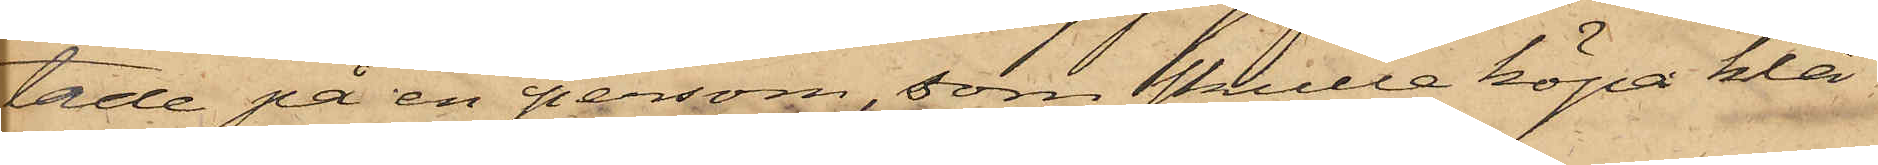tade på en person, som skulle köpa klä¬
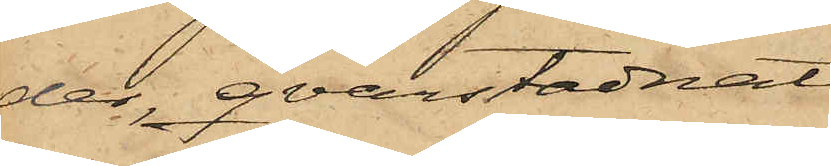der, qvarstadnat
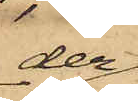der
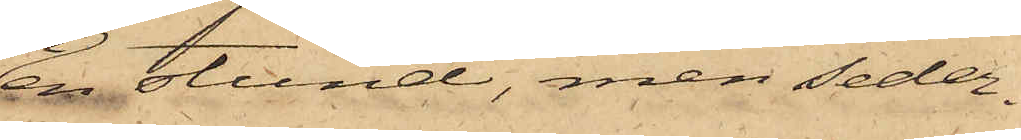en stund, men seder¬
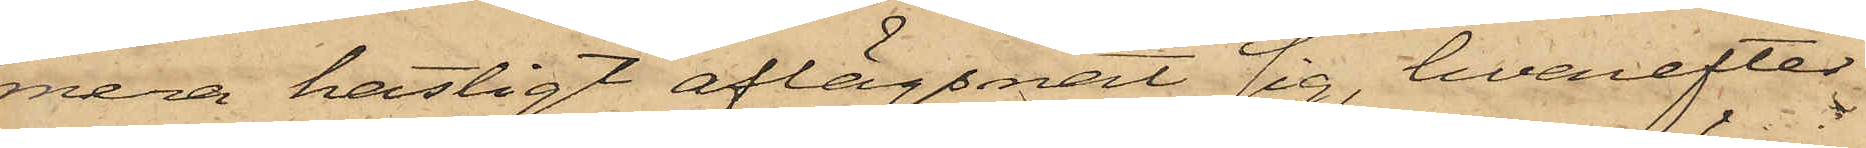mera hastigt aflägsnat sig, hvarefter
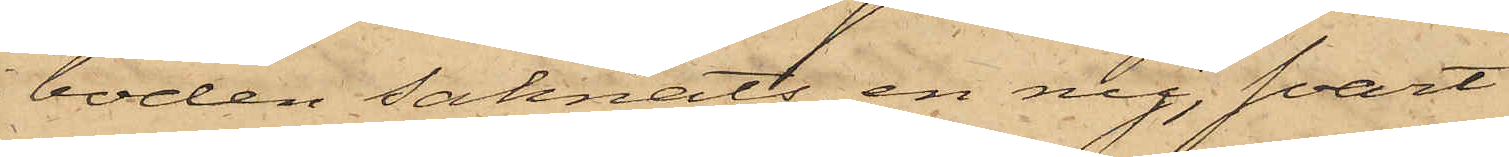i boden saknats en ny, svart
